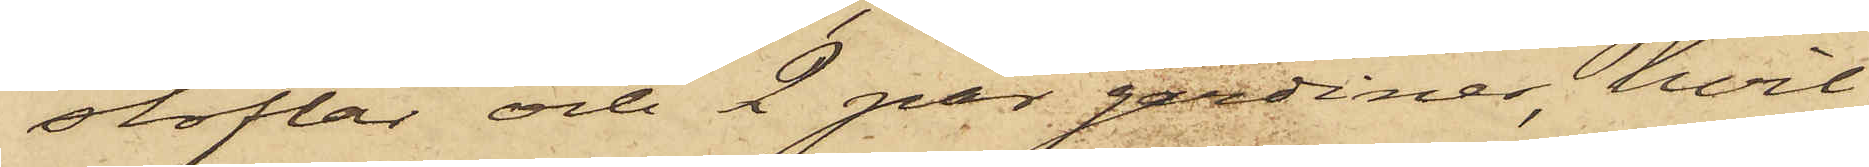stöflar och 2 par gardiner, hvil¬
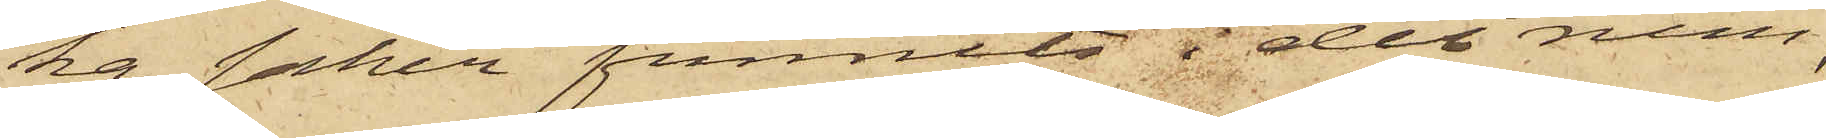ka saker funnits i det rum,
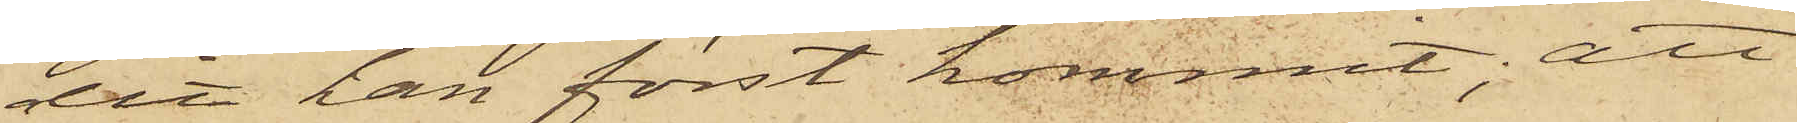dit han först kommit; att
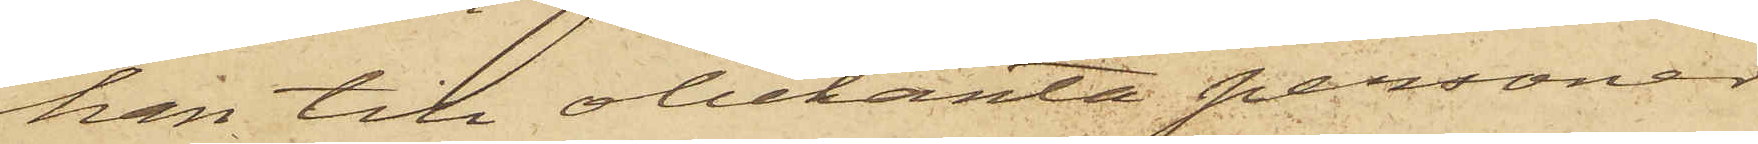han till obekanta personer
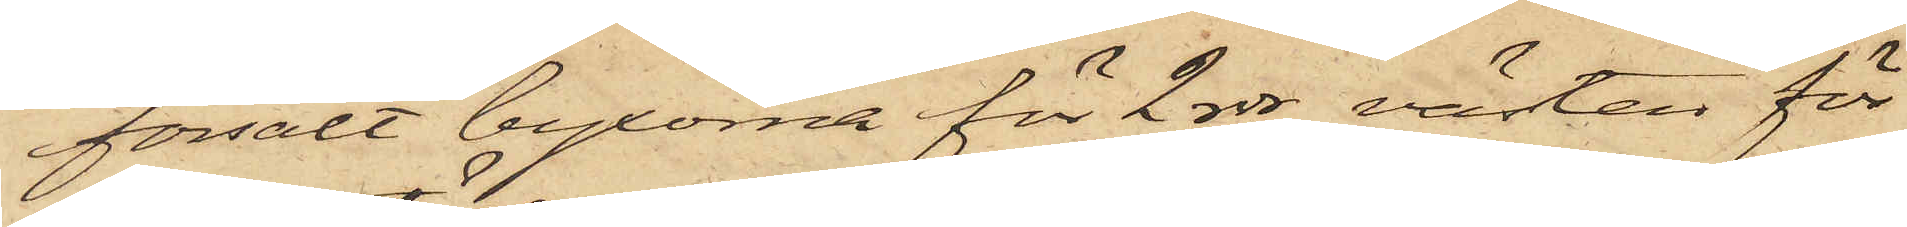försålt byxorna för 2 rdr, västen för
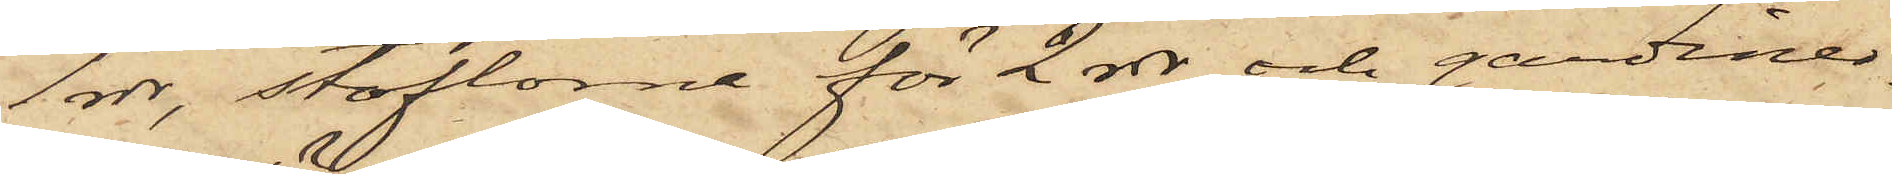1 rdr, stöflarne för 2 rdr och gardiner¬
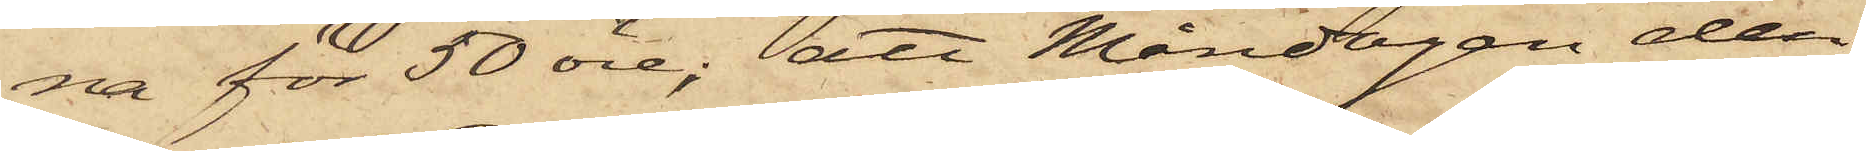na för 50 öre; att Måndagen den
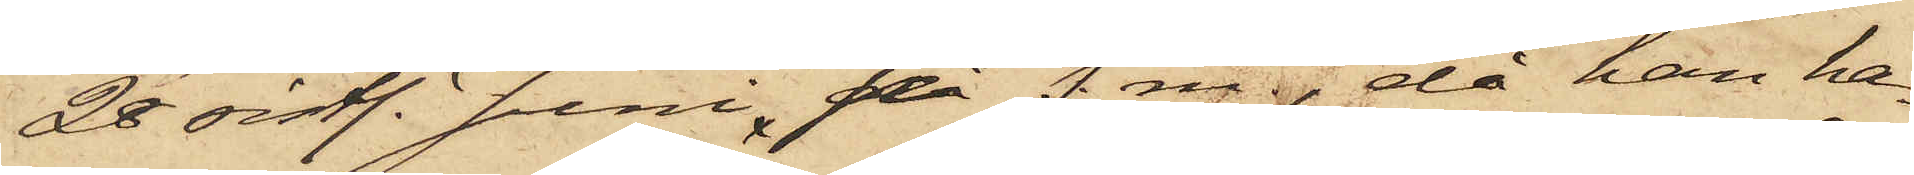28 sistl. Juni, på f. m., då han ha¬
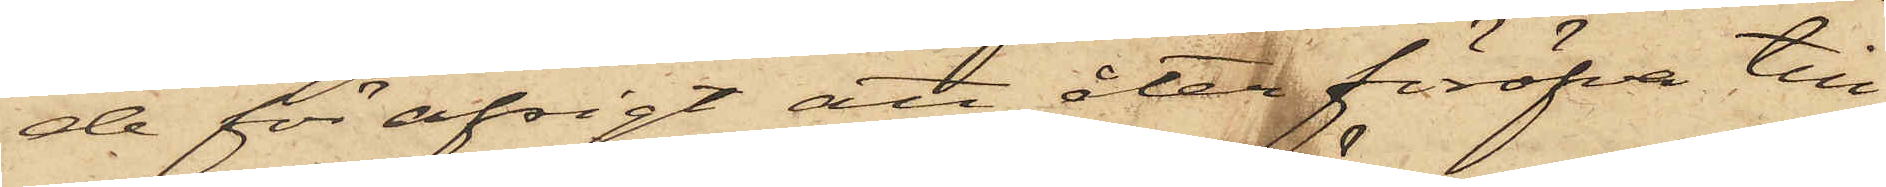de för afsigt att åter föröfva till¬
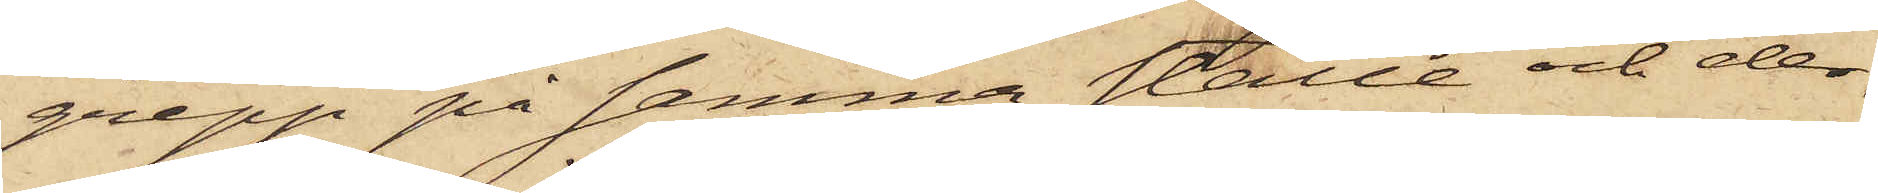grepp på samma ställe och der¬
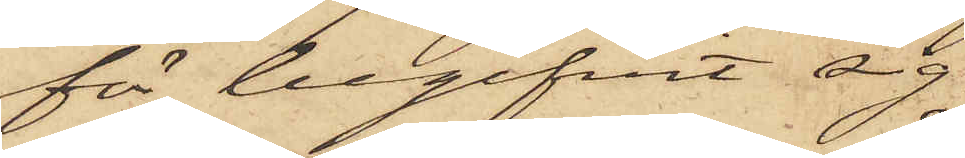för begifvit sig
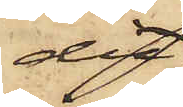dit,
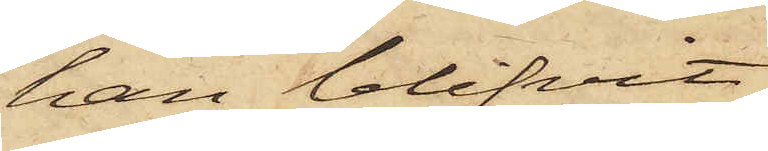han blifvit
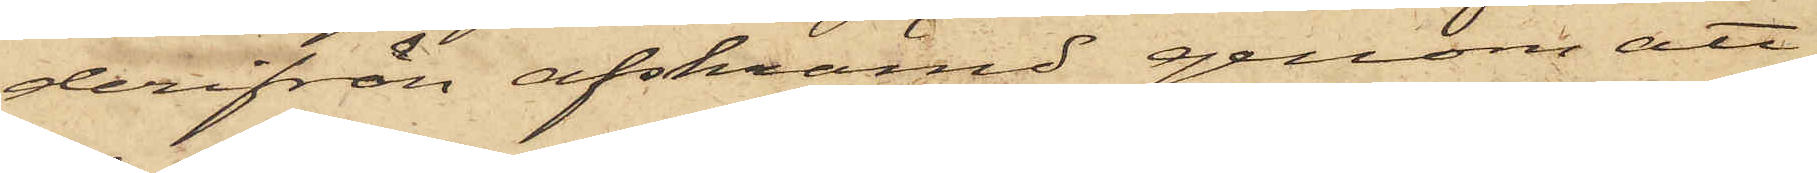derifrån afskrämd genom att
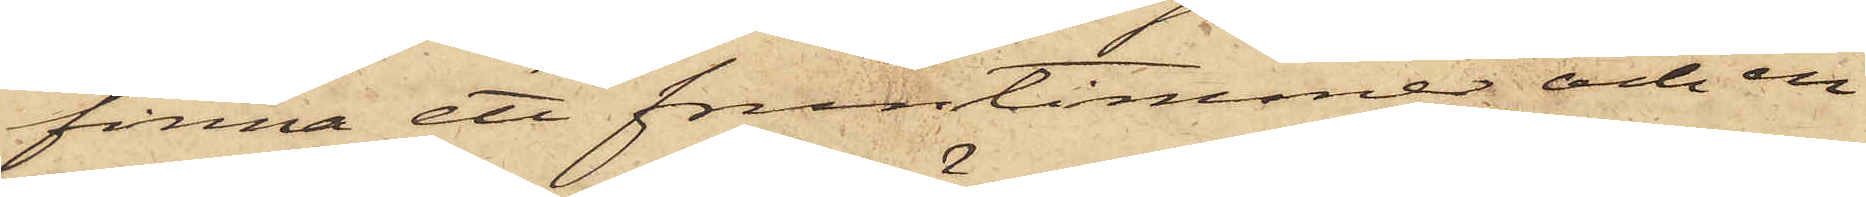finna ett fruntimmer och en
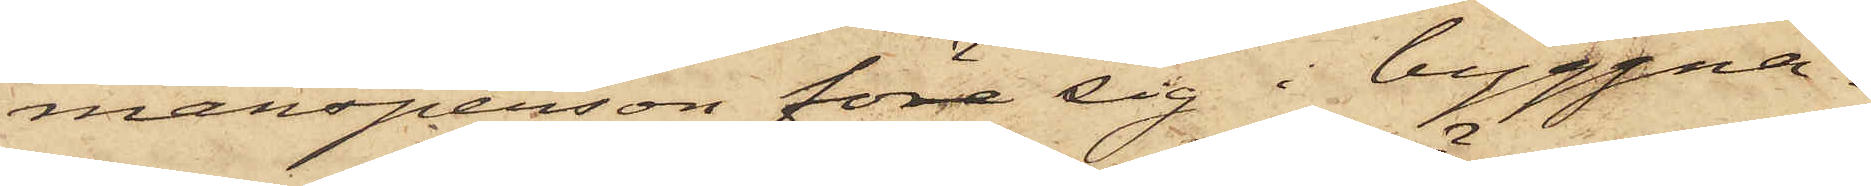mansperson före sig i byggna¬
